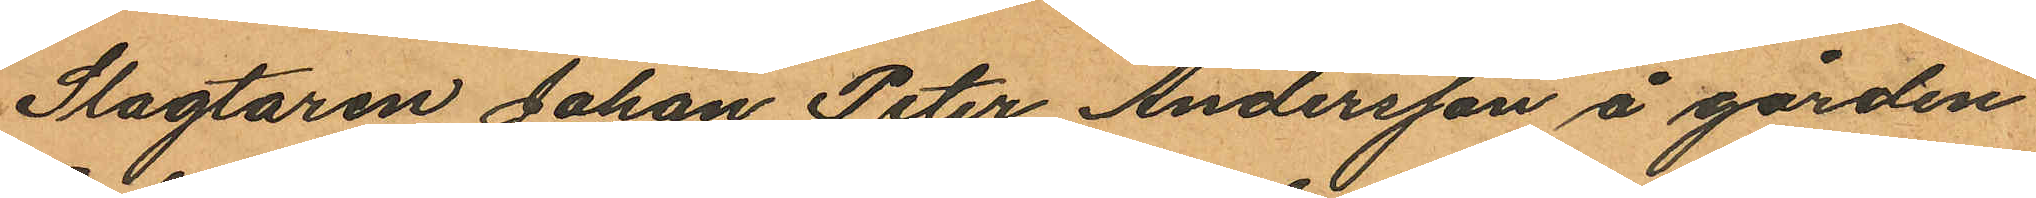Slagtaren Johan Peter Andersson å gården
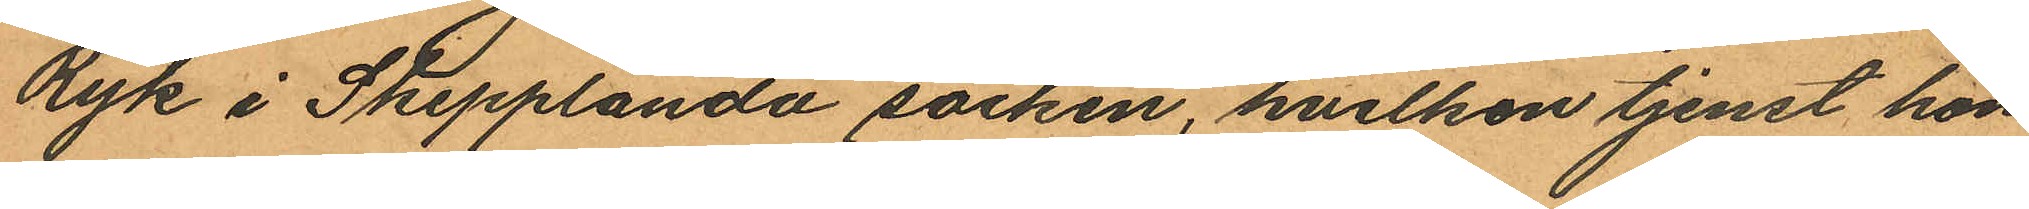Ryk i Skepplanda socken, hvilken tjenst hon
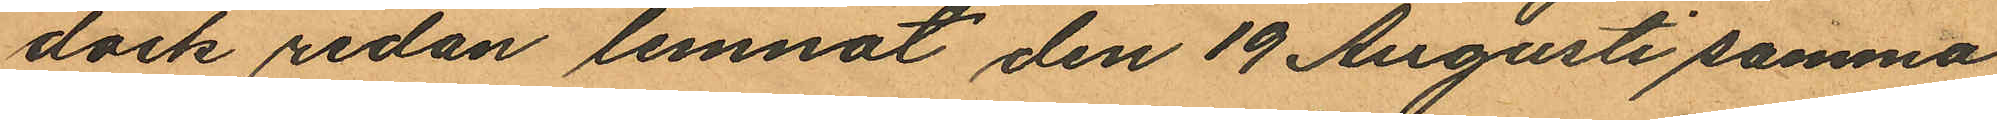dock redan lemnat den 19 Augusti samma
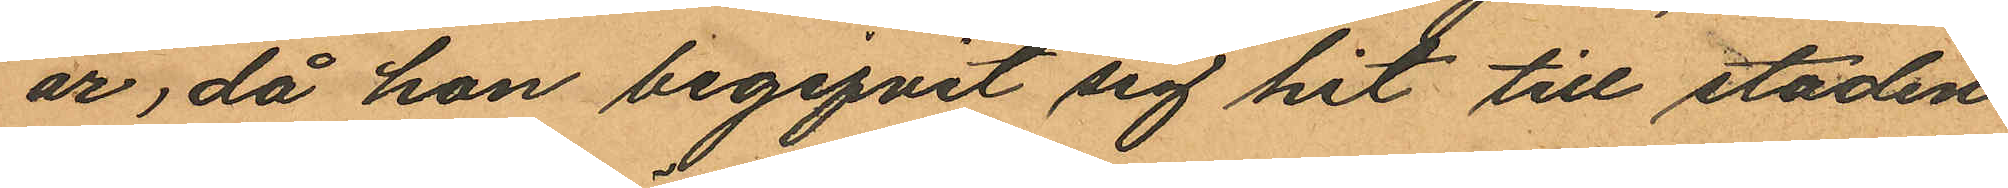år, då hon begifvit sig hit till staden
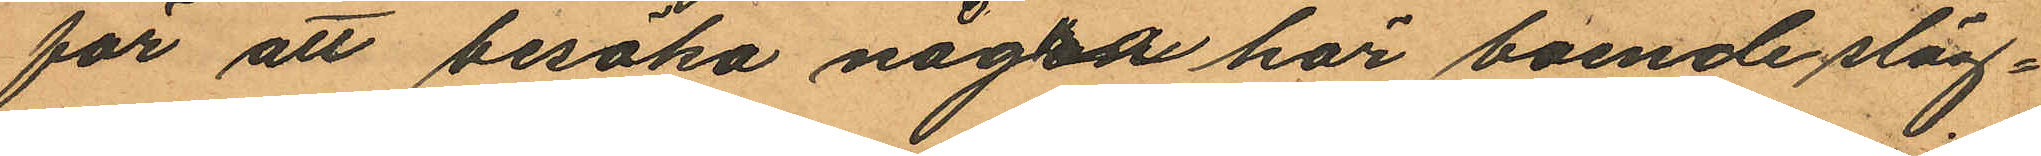för att besöka några här boende släg¬
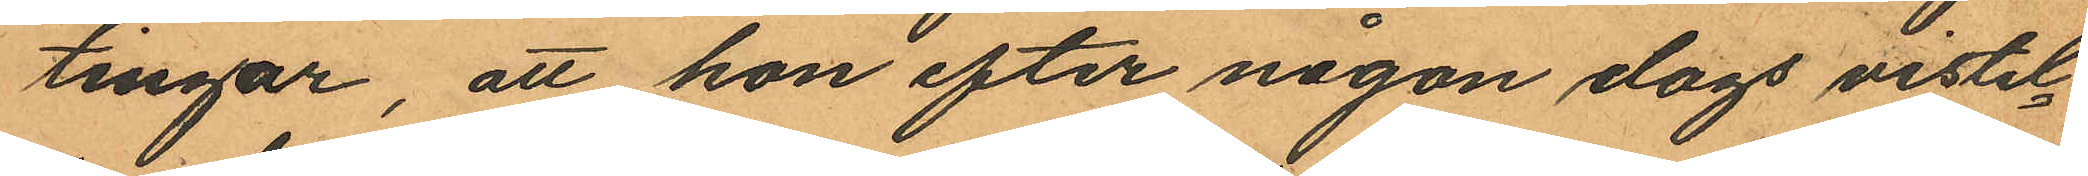tingar, att hon efter någon dags vistel¬
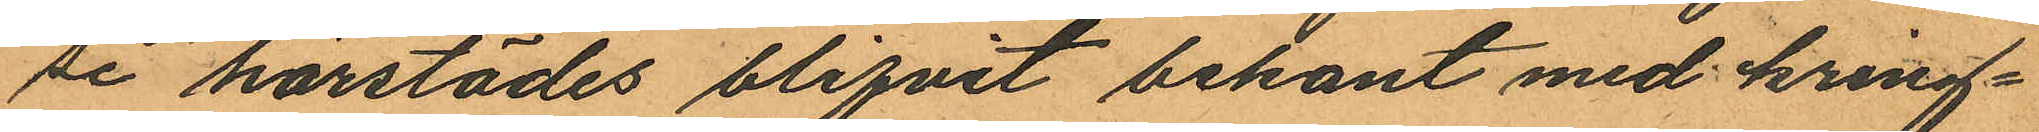se härstädes blifvit bekant med kring¬
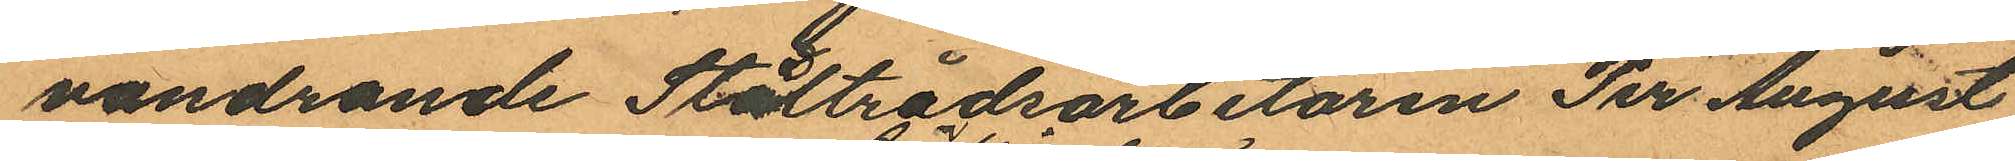vandrande Ståltrådsarbetaren Per August
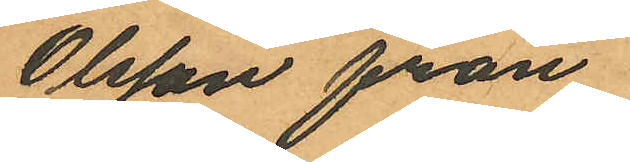Olsson från
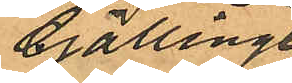Gällinge
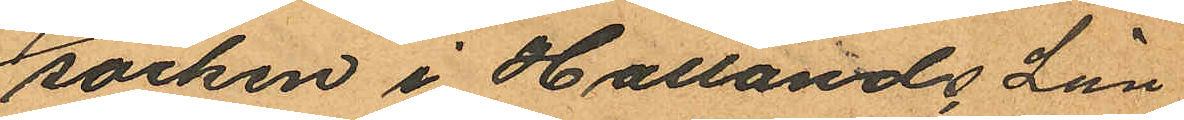socken i Hallands Län,
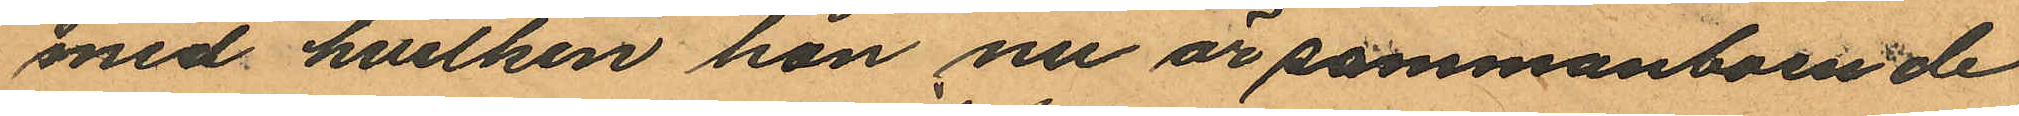med hvilken hon nu är sammanboende
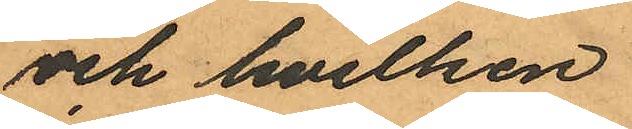och hvilken
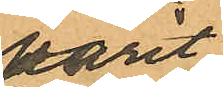varit
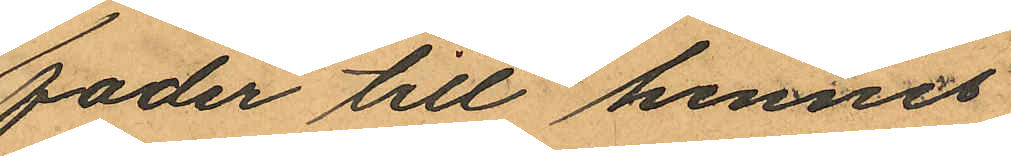fader till hennes
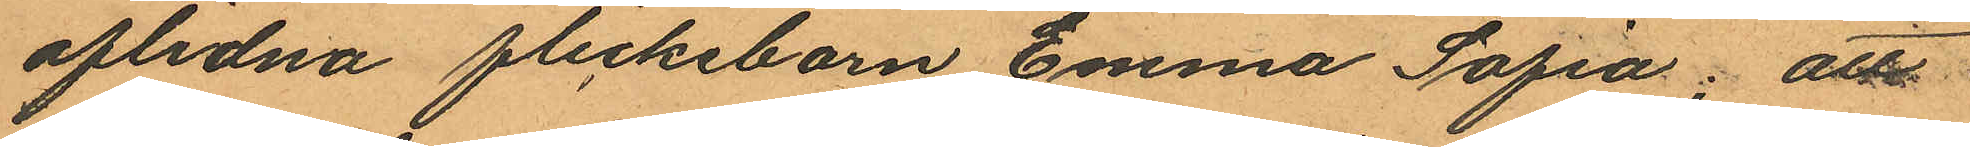aflidna flickebarn Emma Sofia; att
